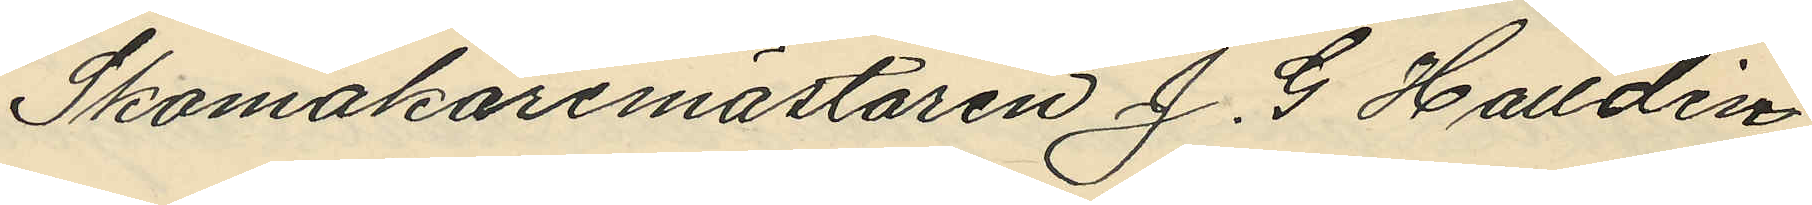Skomakaremästaren J. G. Halldin
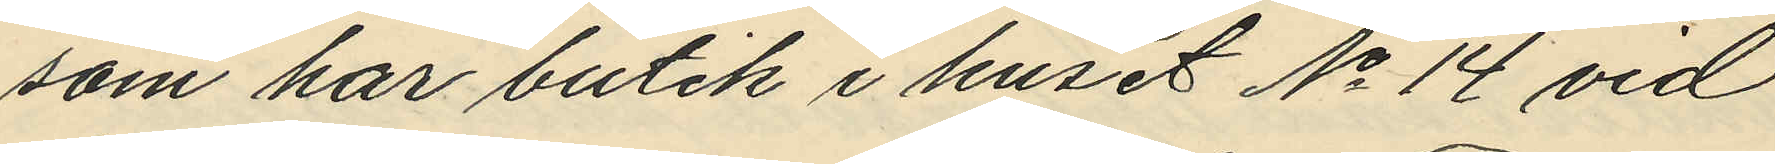som har butik i huset No 14 vid
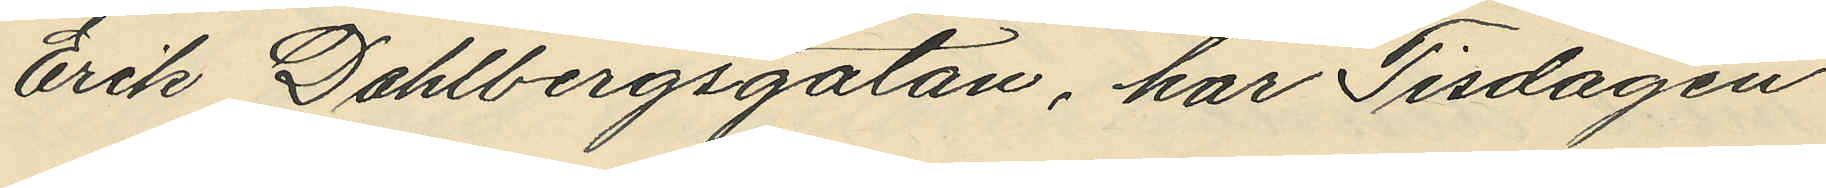Erik Dahlbergsgatan, har Tisdagen
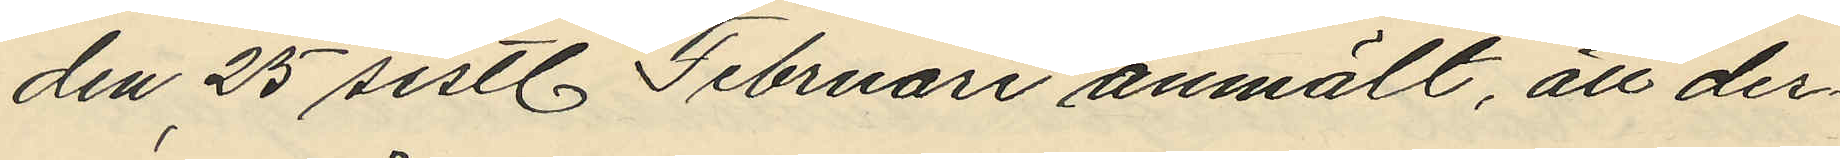den 25 sistl Februari anmält, att der¬
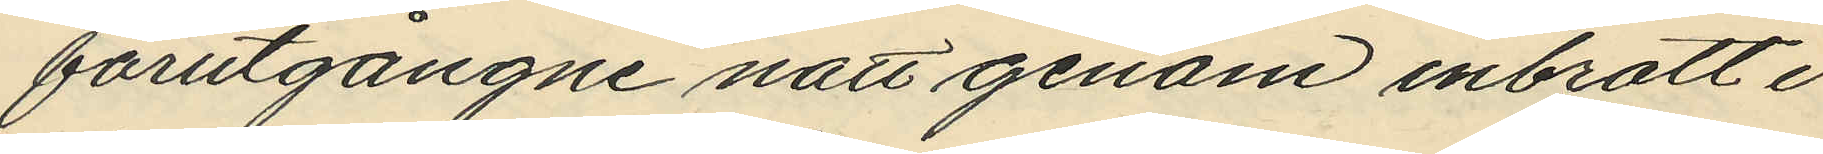förutgångne natt genom inbrott i
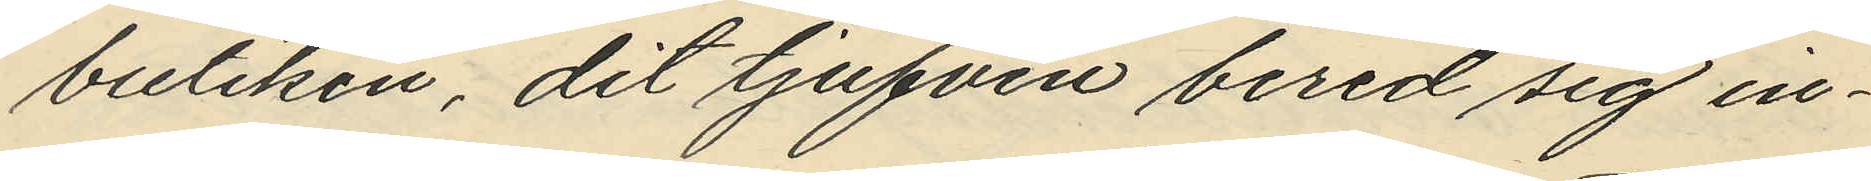butiken, dit tjufven bered sig in¬
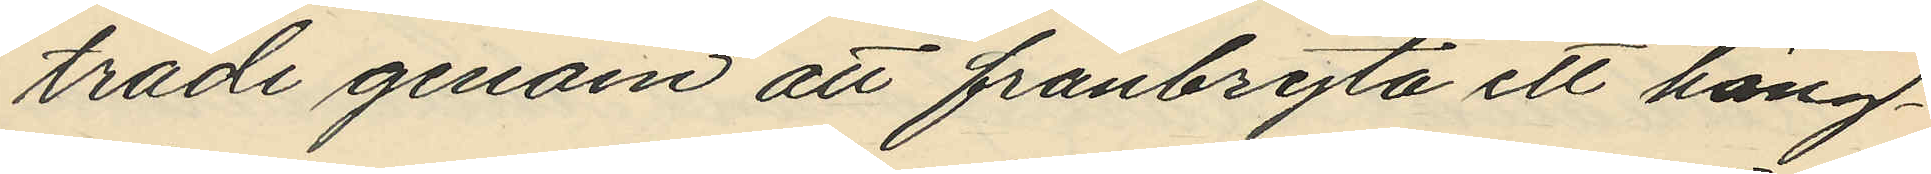träde genom att frånbryta ett häng¬
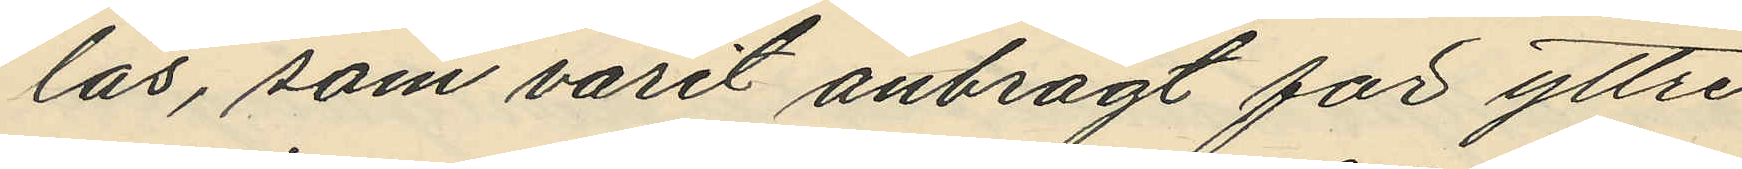lås, som varit anbragt för yttre
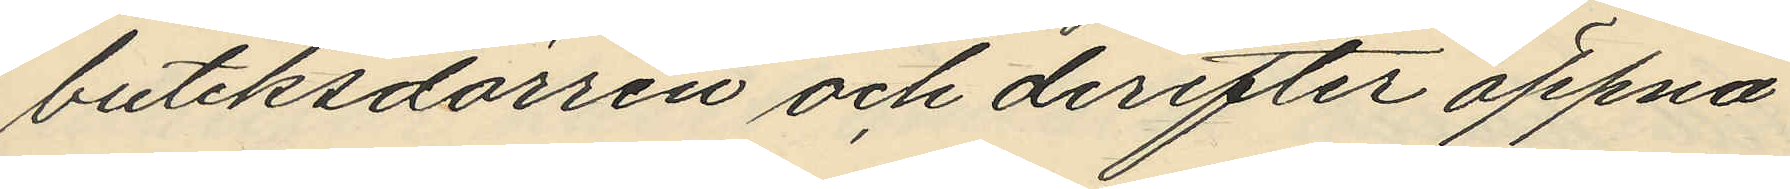butiksdörren och derefter öppna
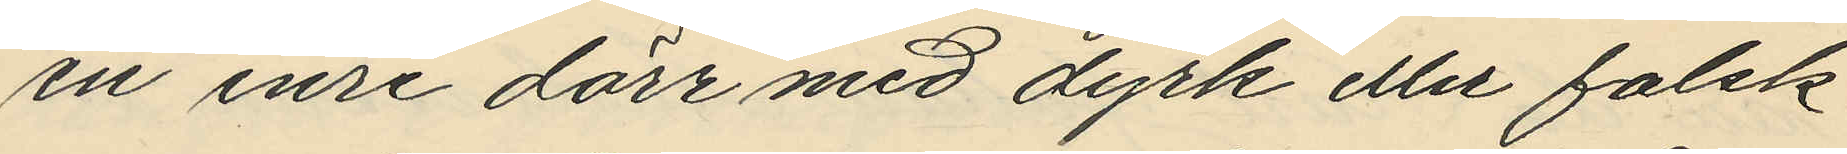en inre dörr med dyrk eller falsk
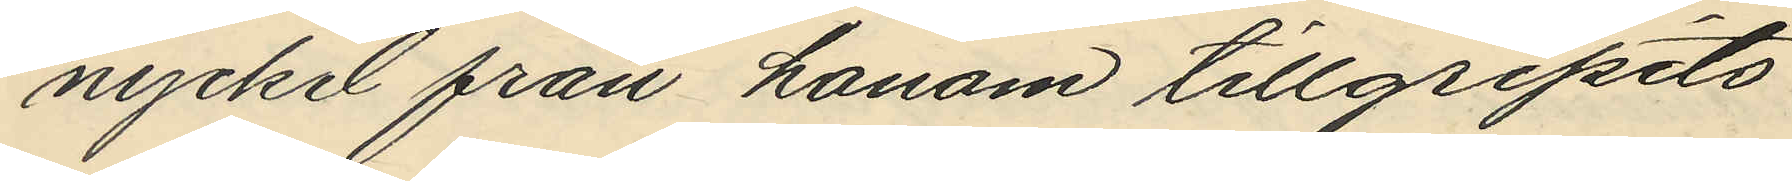nyckel från honom tillgripits
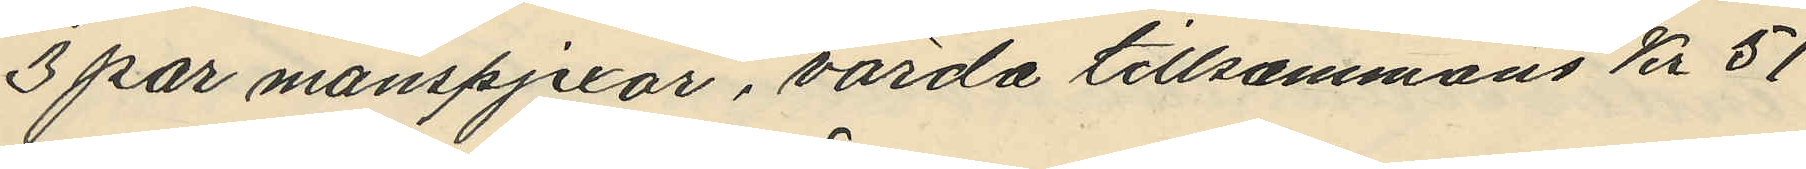3 par manspjexor, värda tillsammans Kr 51
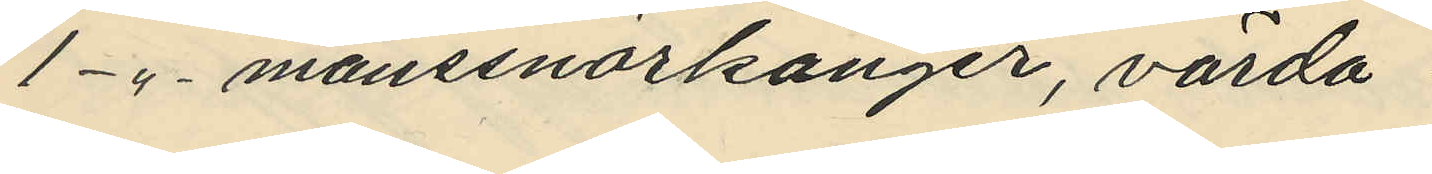1 - " - manssnörkänger, värda
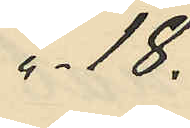" - 18.
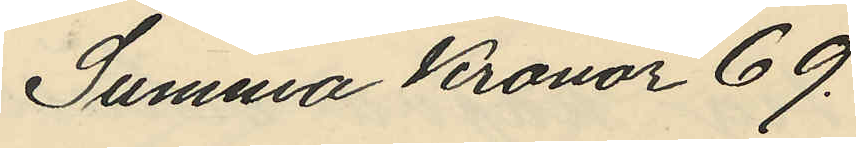Summa Kronor 69.
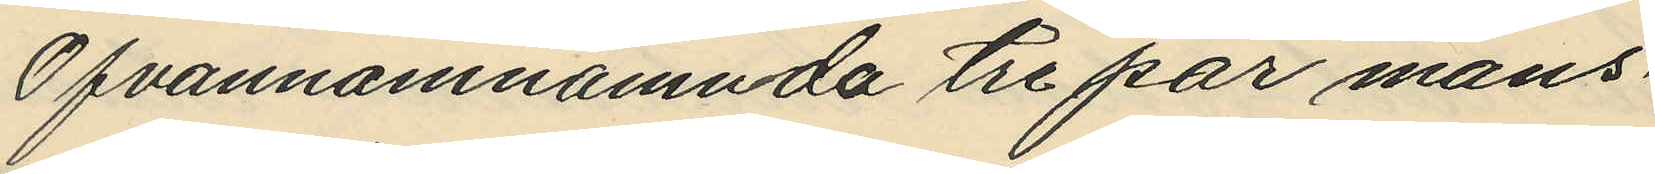Ofvannamnamnda tre par mans¬
